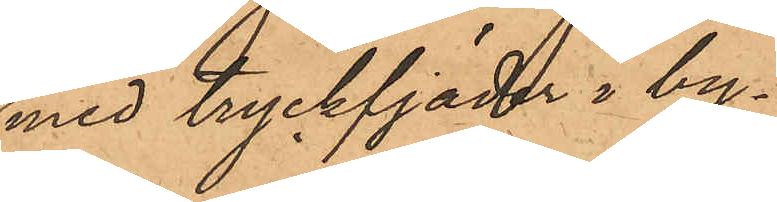med tryckfjäder i by¬
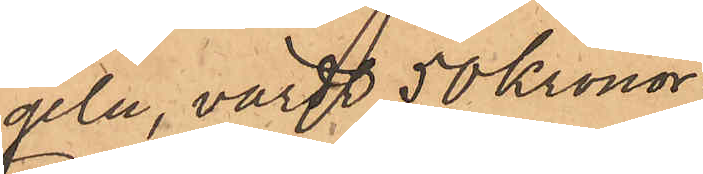geln, värde 50 Kronor;
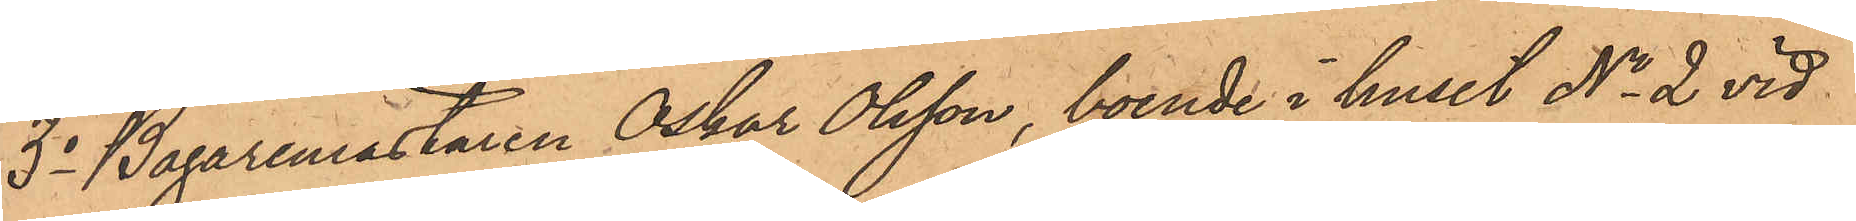3o Bagaremästaren Oskar Olsson, boende i huset No 2 vid
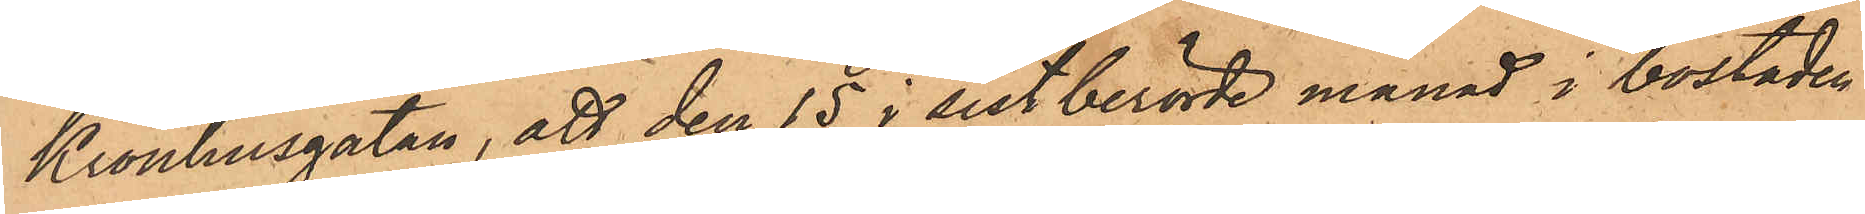Kronhusgatan, att den 15 i sistberörde månad i bostaden
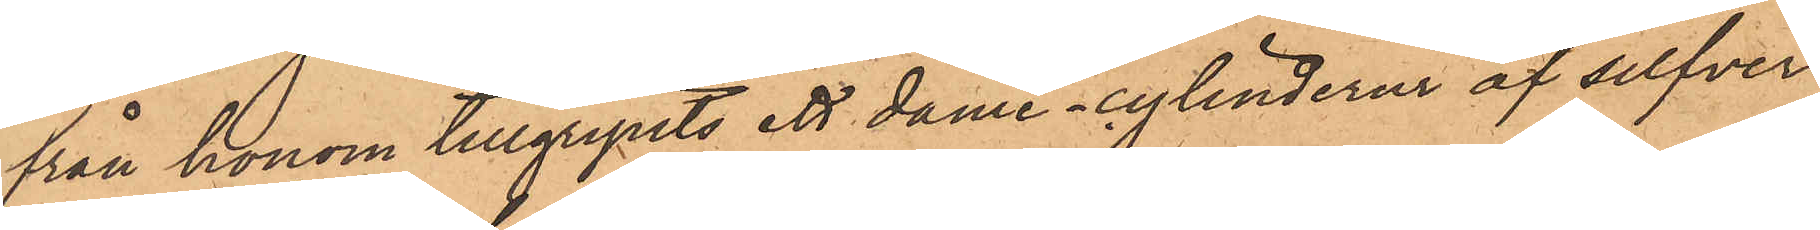från honom tillgripits ett dame - cylinderur af silfver
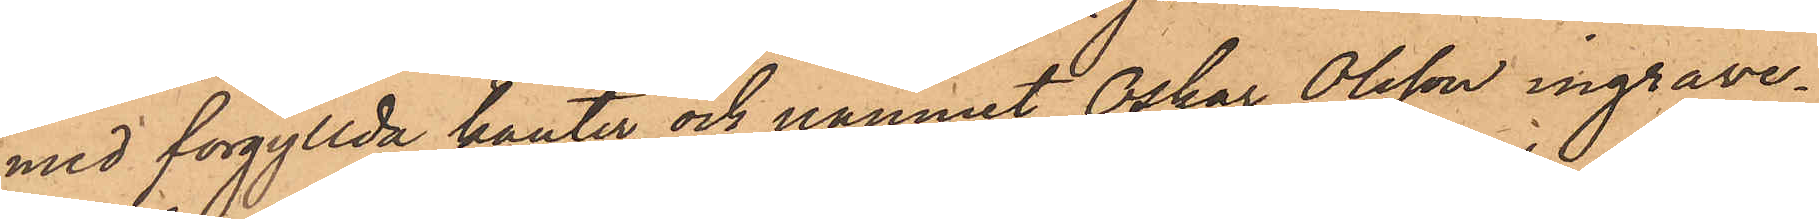med förgyllda kanter och namnet Oskar Olsson ingrave¬
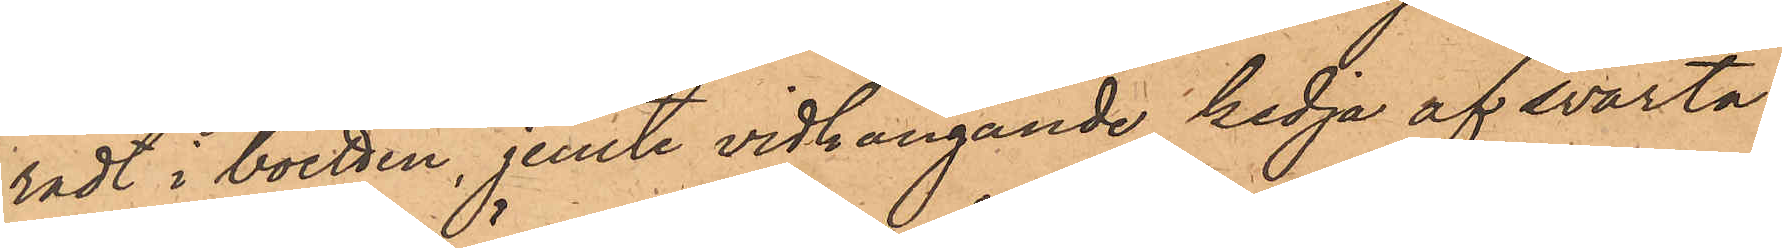radt i boetten, jemte vidhängande kedja af svarta
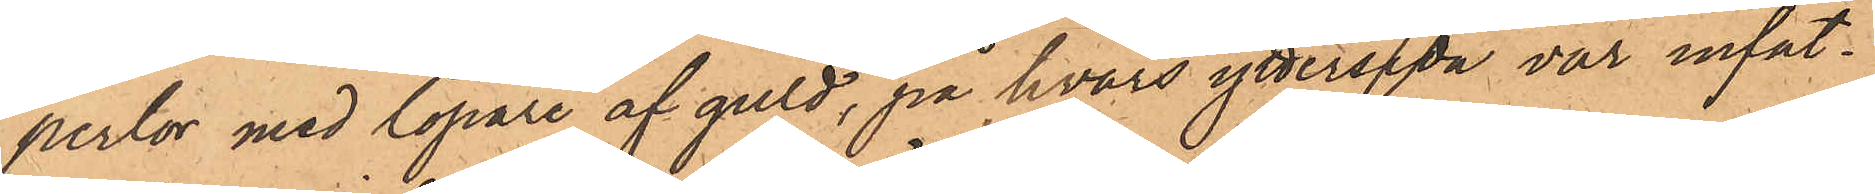perlor med löpare af guld, på hvars yttersida var infat¬
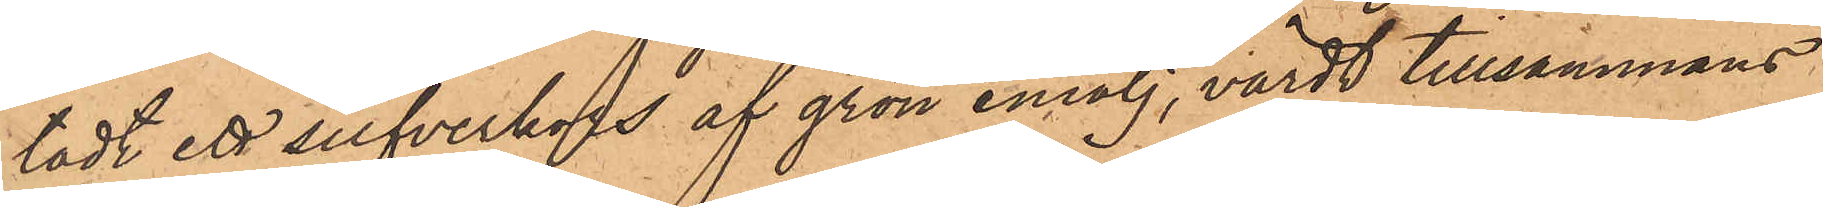tadt ett silfverkors af grön emalj, värdt tillsammans
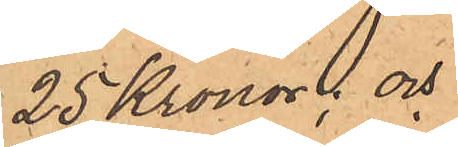25 Kronor; och
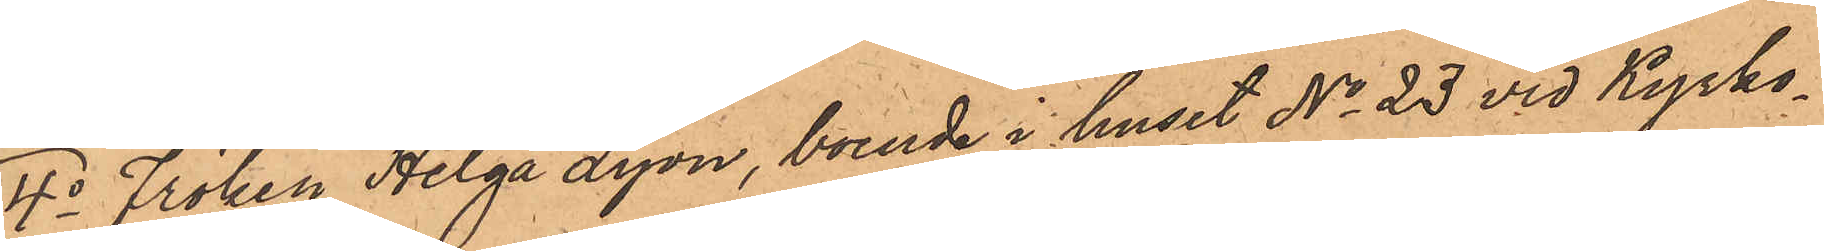4o Fröken Helga Lyon, boende i huset No 23 vid Kyrko¬
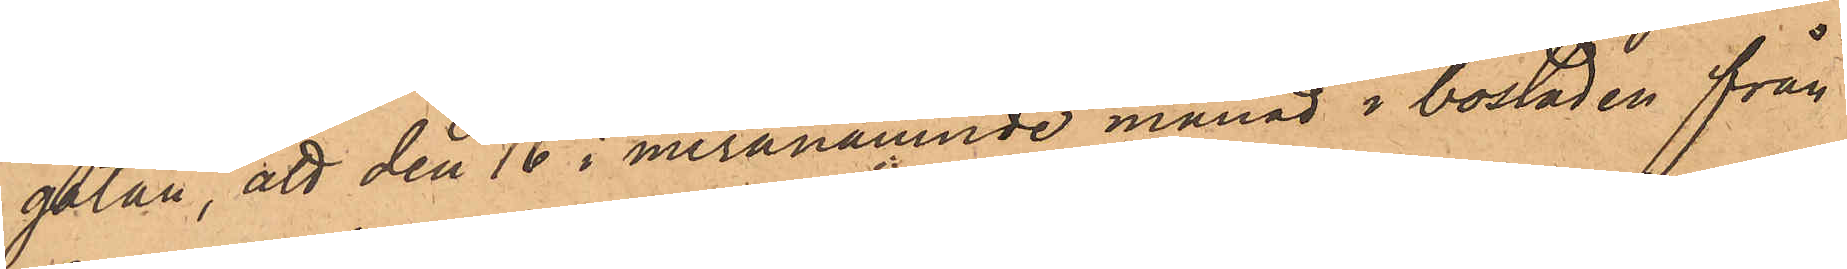gatan, att den 16 i meranämnde månad i bostaden från
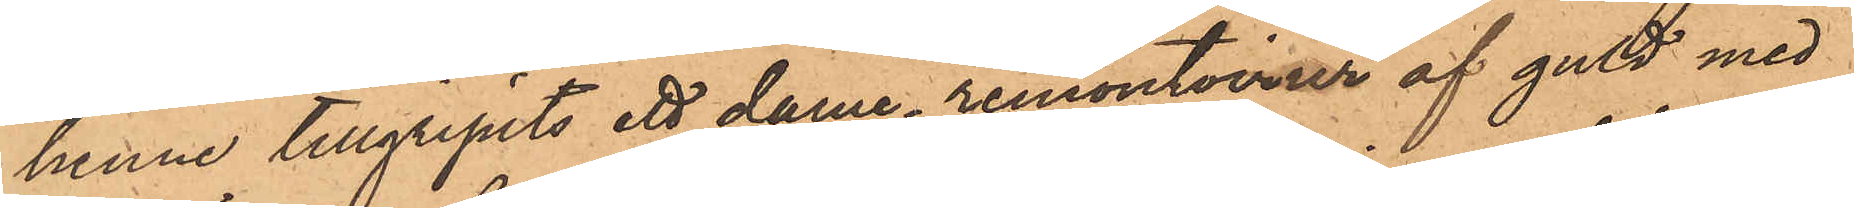henne tillgripits ett dame - remontoirur af guld med
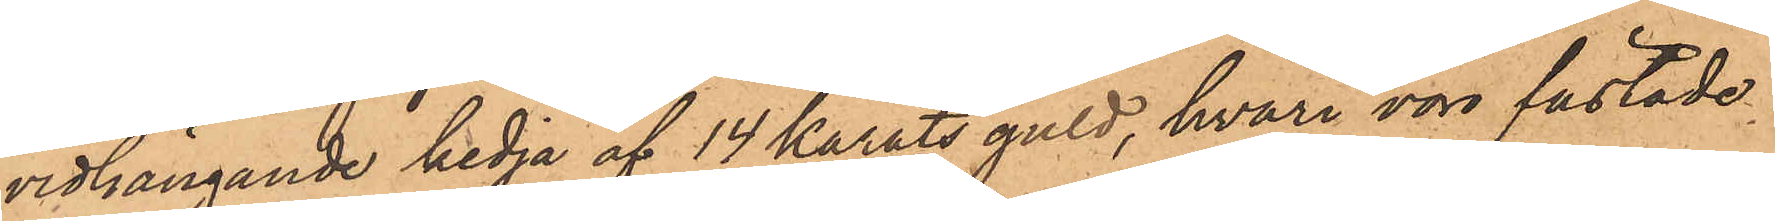vidhängande kedja af 14 karats guld, hvari voro fästade
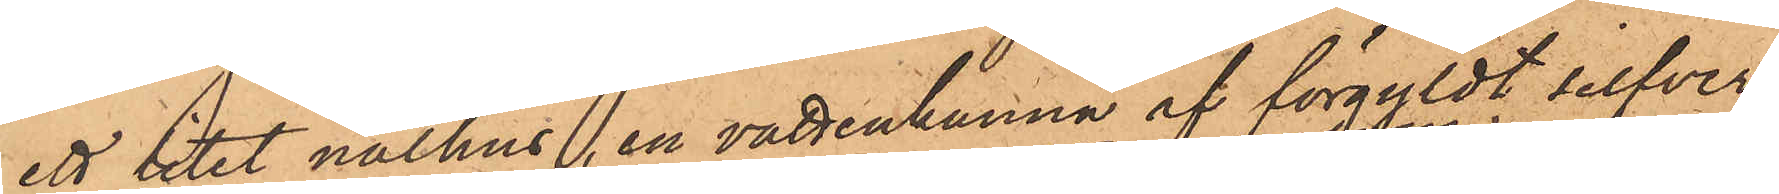ett litet nålhus, en vattenkanna af förgyldt silfver
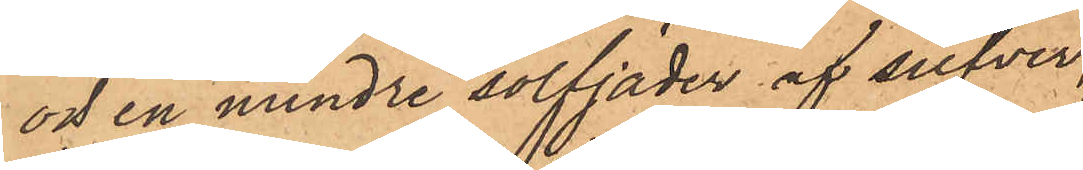och en mindre solfjäder af silfver,
